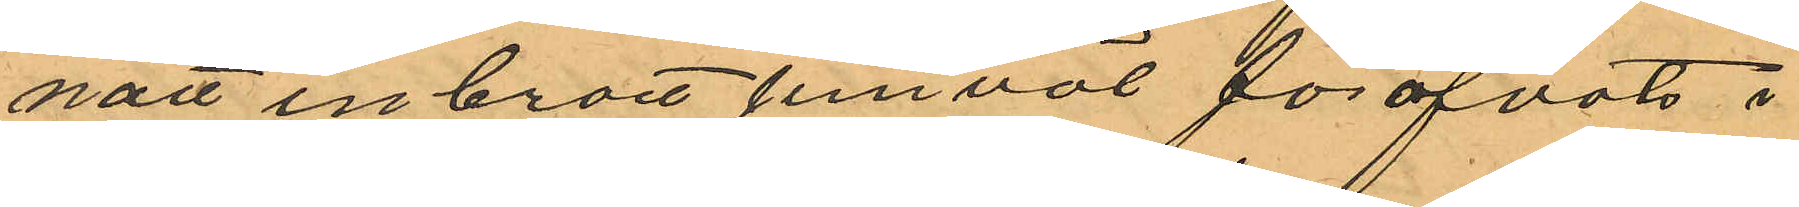natt inbrott jemväl föröfvats i
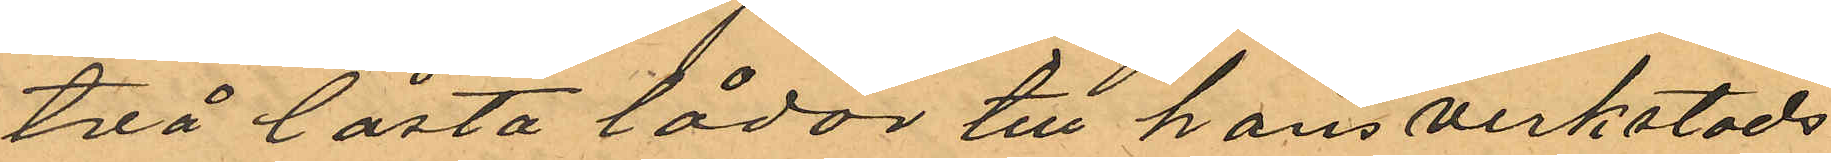två låsta lådor till hans verkstads¬
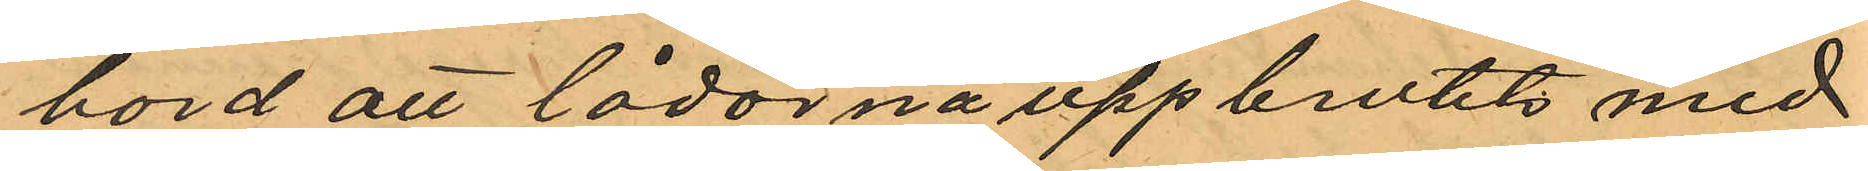bord att lådorna uppbrutits med
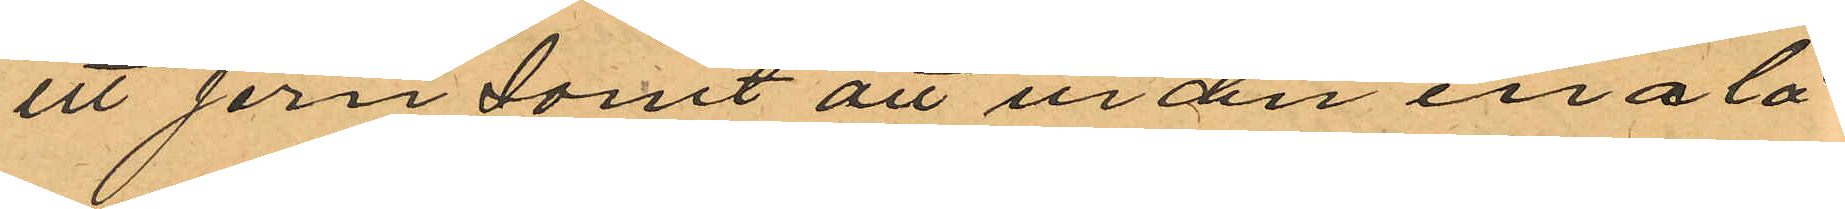ett jern samt att ur den ena lå¬
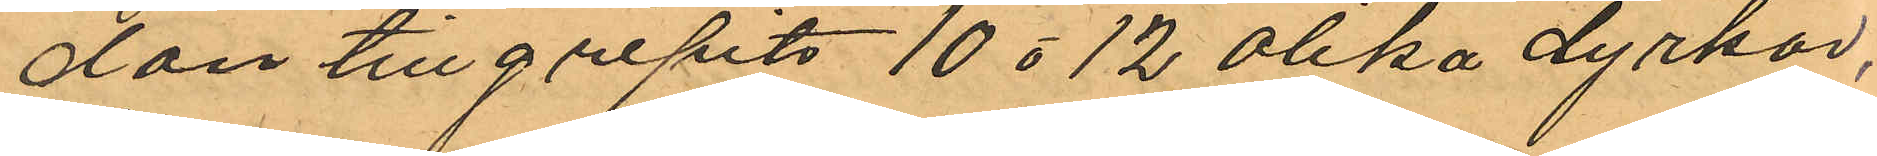dan tillgripits 10 o 12 olika dyrkar,
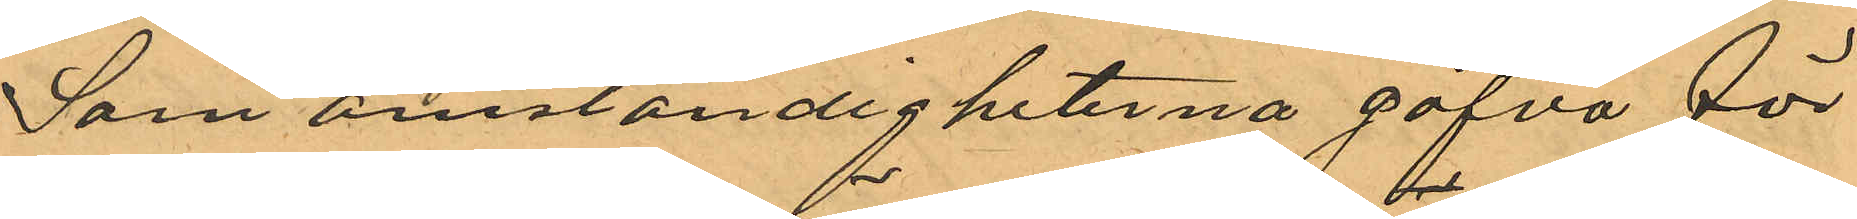Som omständigheterna gifva för
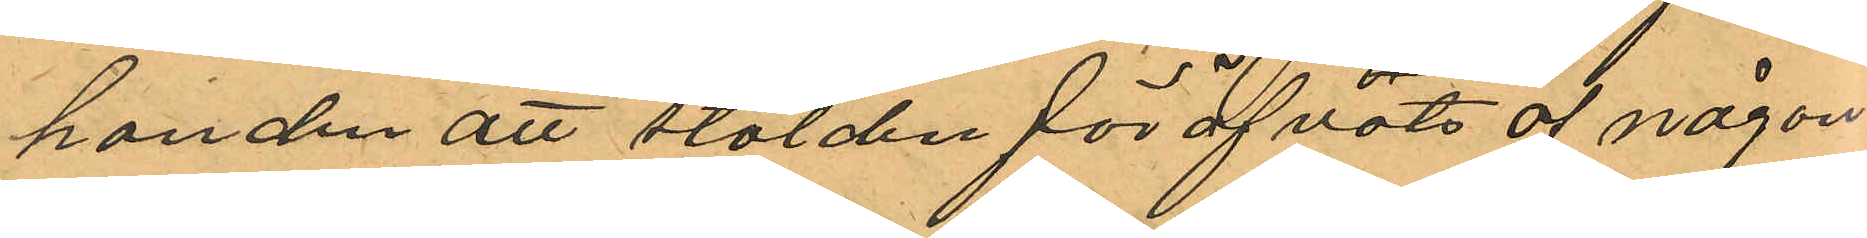handen att stölden föröfvats af någon
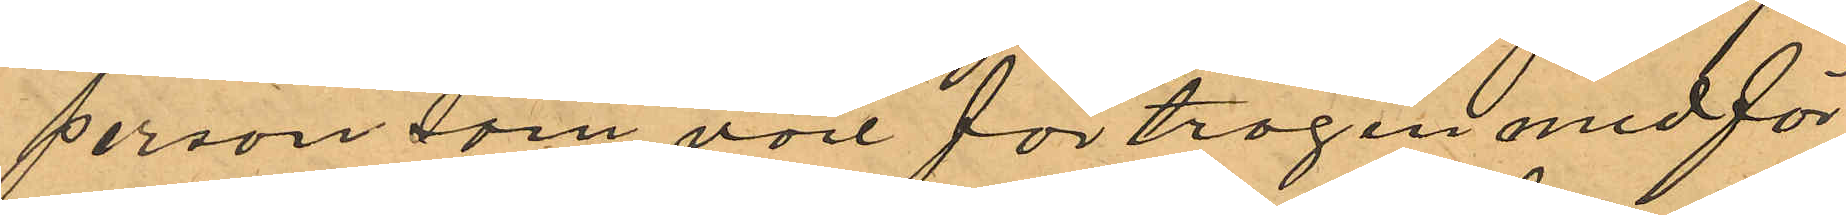person som vore förtrogen med för¬
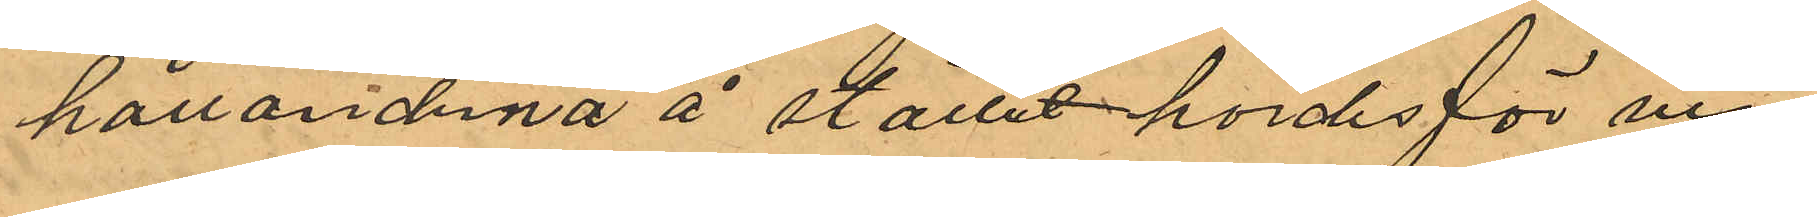hållanderna å stället hördes för vin¬
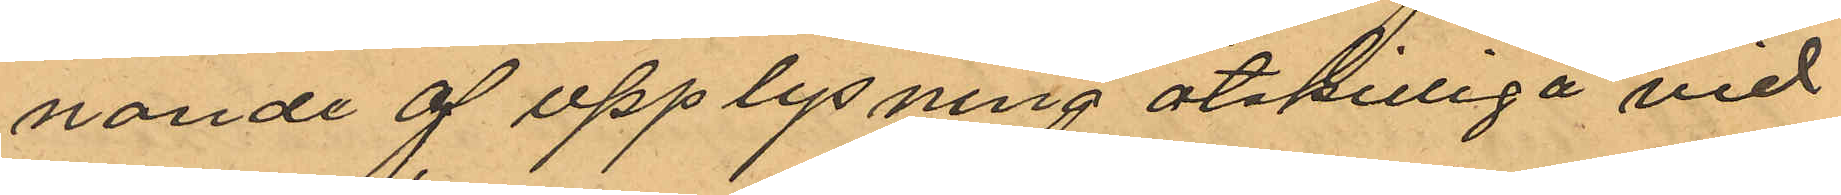nande a upplysning åtskilliga vid
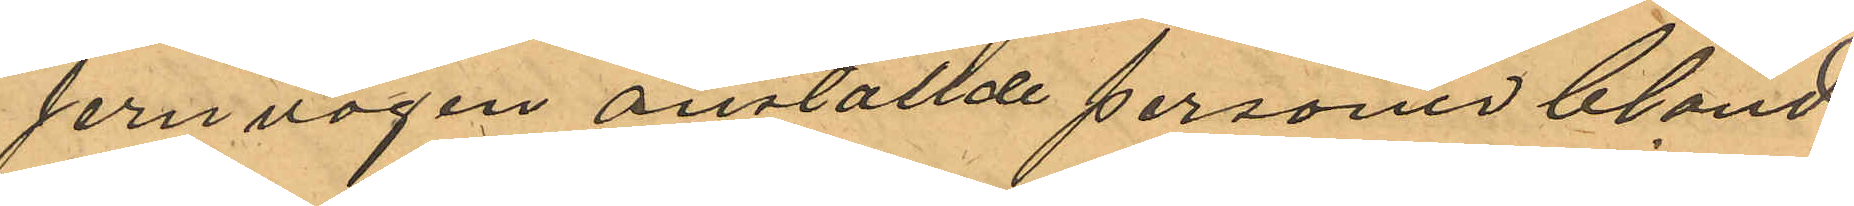jernvägen anställde personer bland
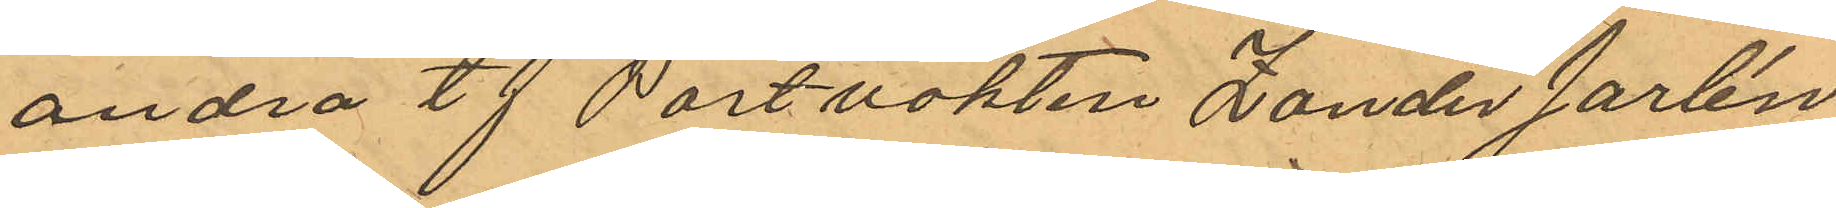andra tf Portvakten Zander Jarlén
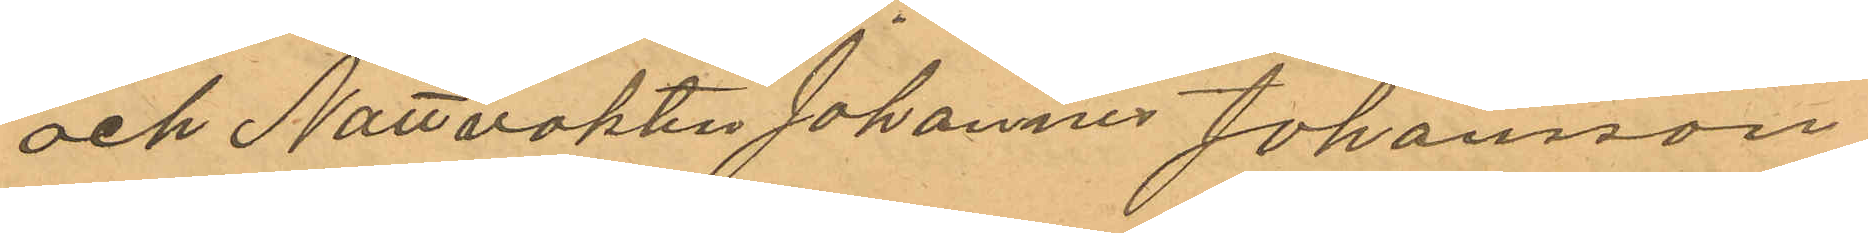och Nattvakten Johannes Johansson
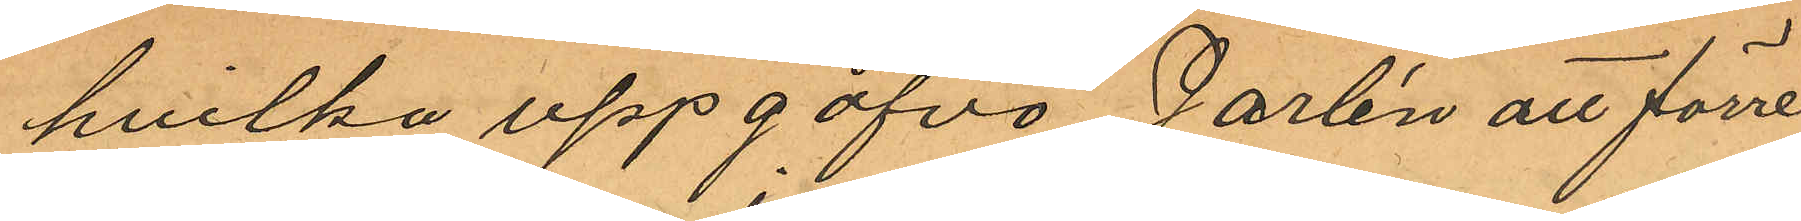hvilka uppgåfvo Jarlén att förre
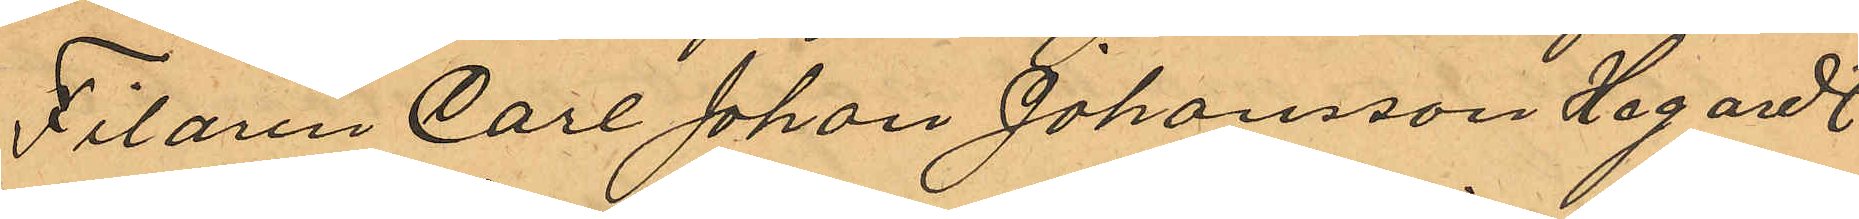Filaren Carl Johan Johansson Hagardt
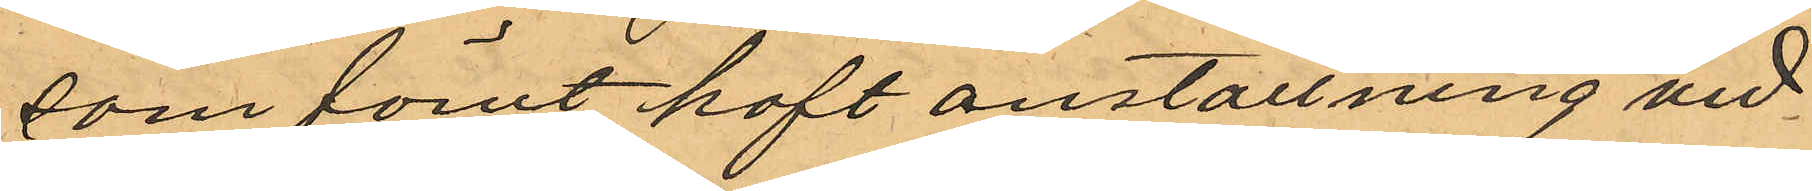som förut haft anställning vid
